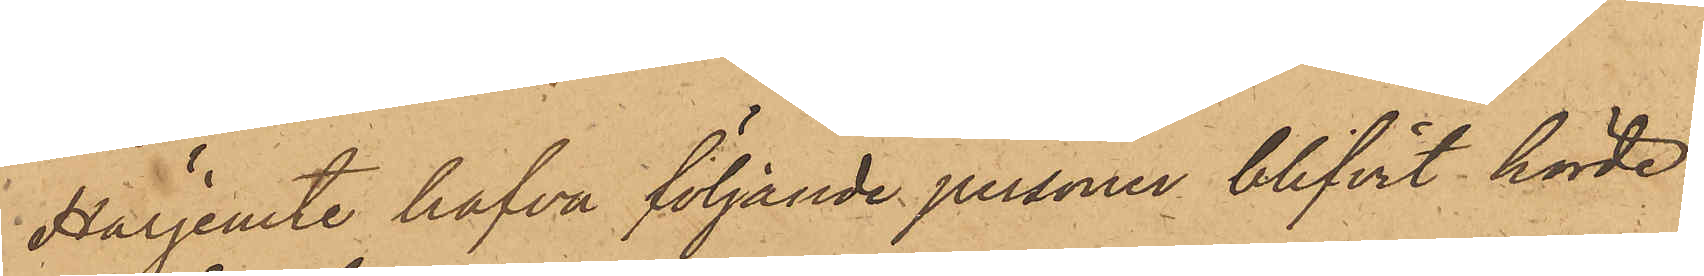Härjemte hafva följande personer blifvit hörde
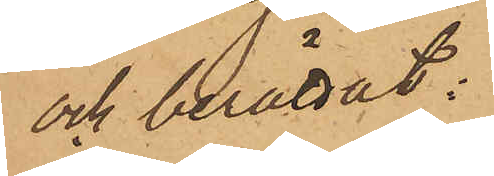och berättat:
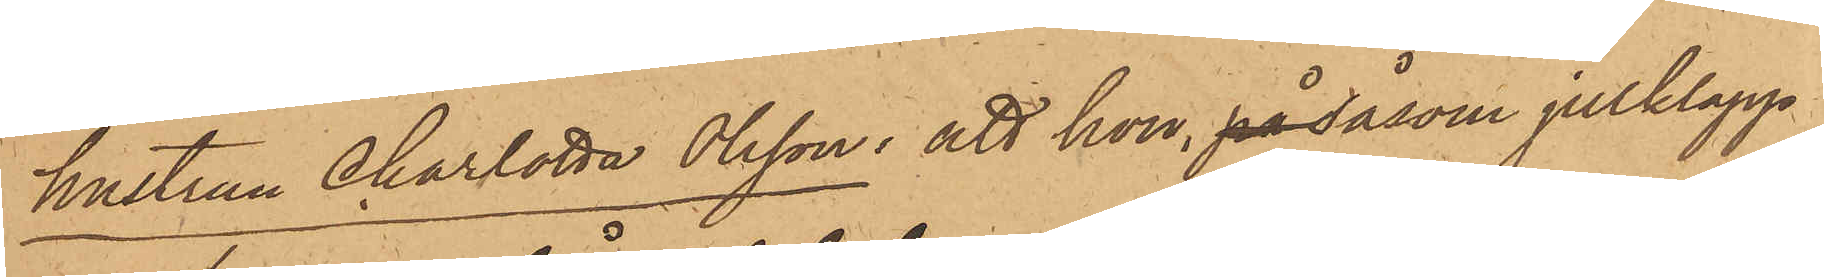hustrun Charlotta Olsson: att hon, på såsom julklapp
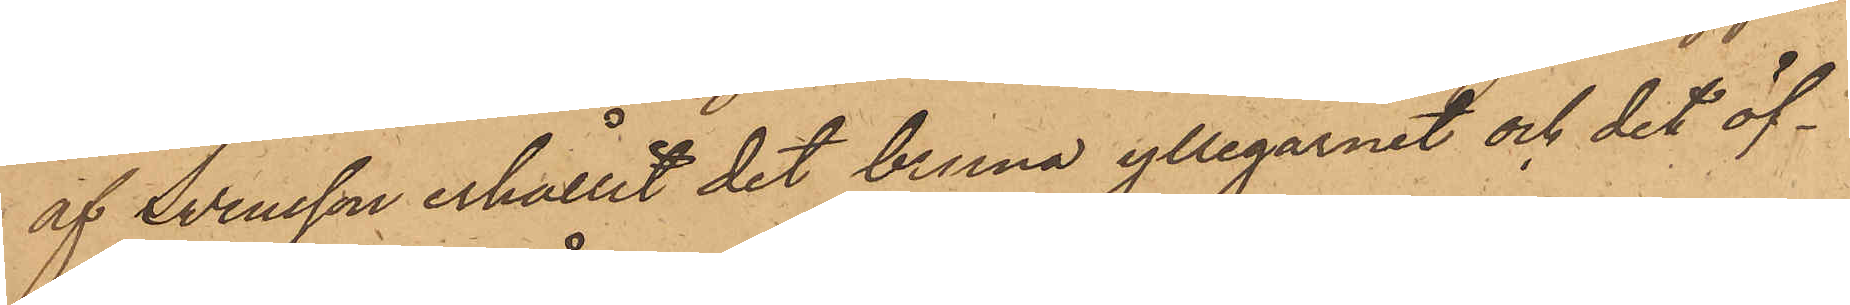af Svensson erhållit det bruna yllegarnet och det öf¬
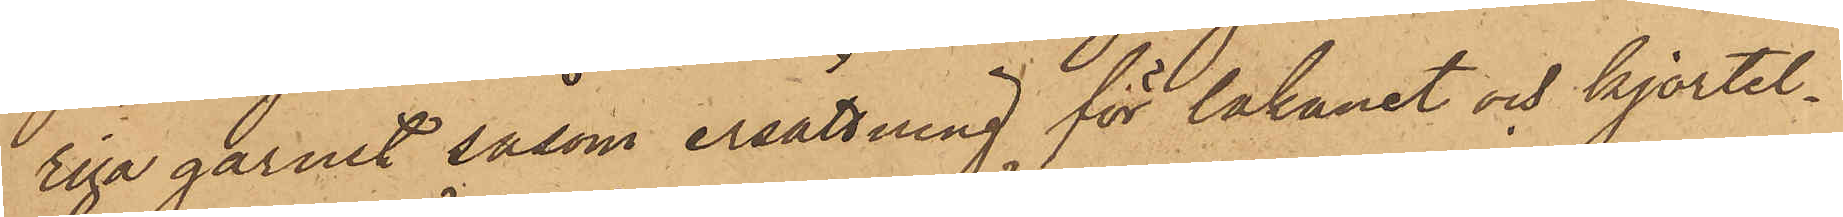riga garnet såsom ersättning för lakanet och kjortel¬
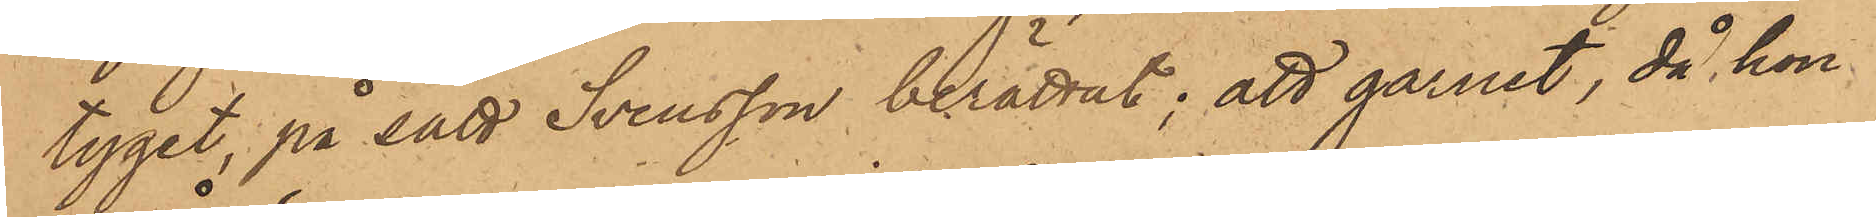tyget, på sätt Svensson berättat; att garnet, då hon
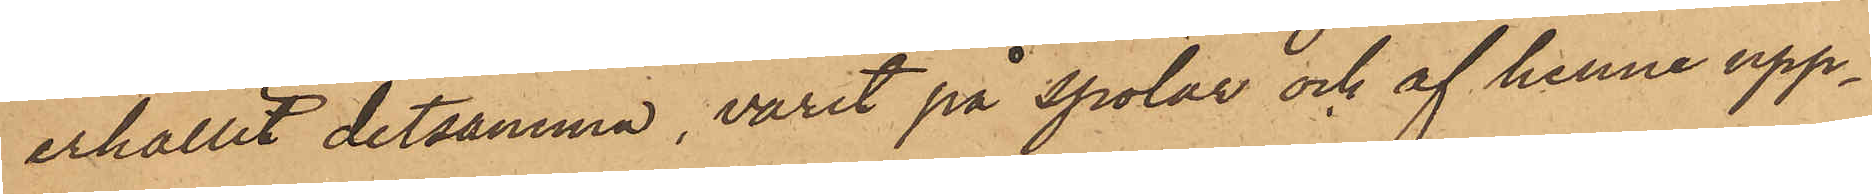erhållit detsamma, varit på spolar och af henne upp¬
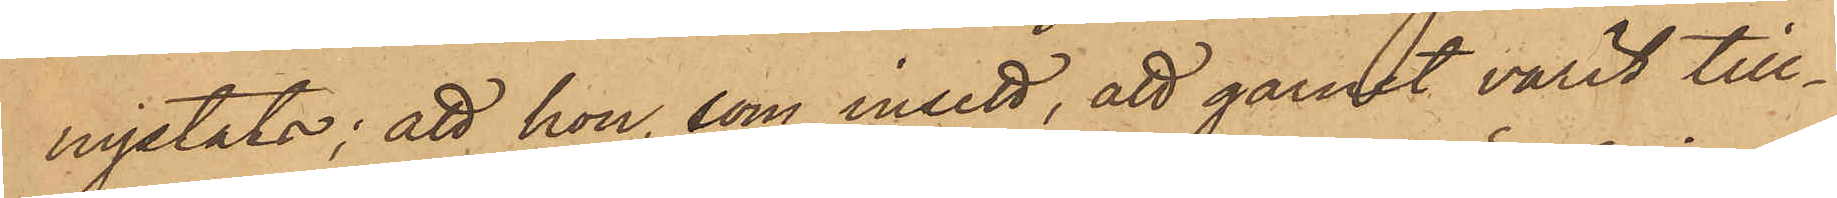nystats; att hon, som insett, att garnet varit till¬
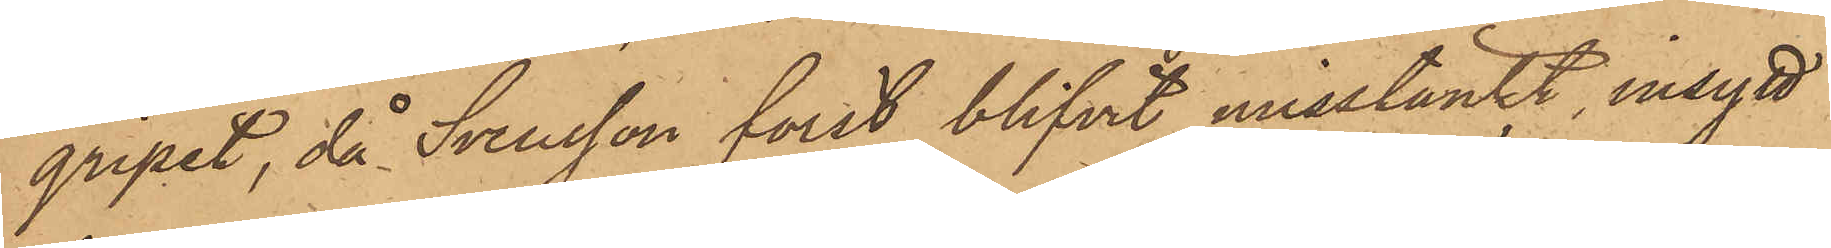gripit, då Svensson först blifvit misstänkt, insytt
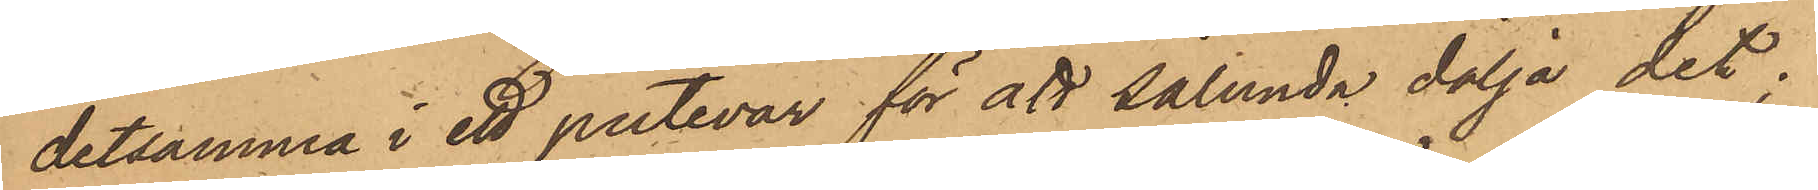detsamma i ett putevar för att sålunda dölja det;
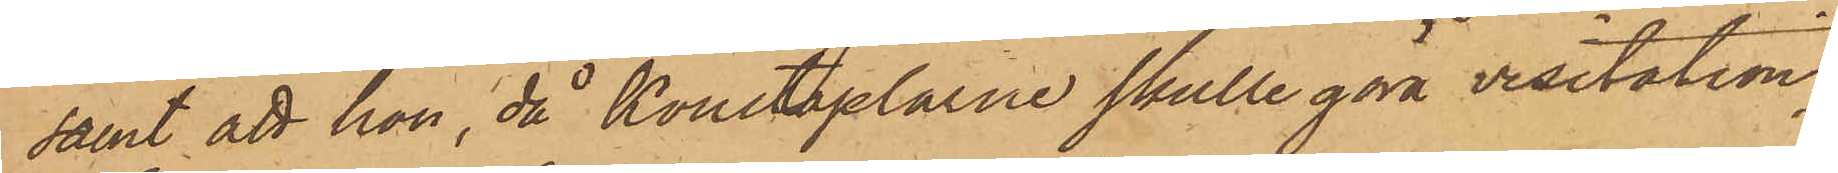samt att hon, då Konstaplarne skulle göra visitation,
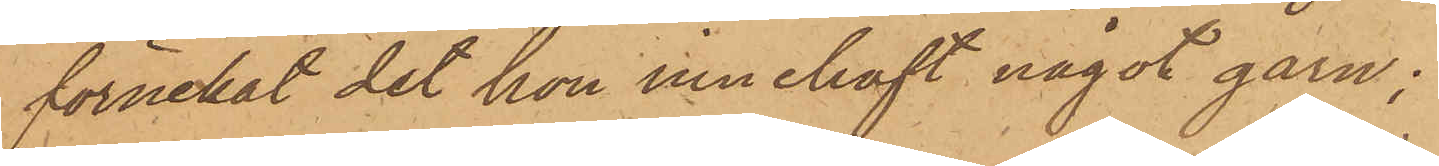förnekat det hon innehaft något garn;
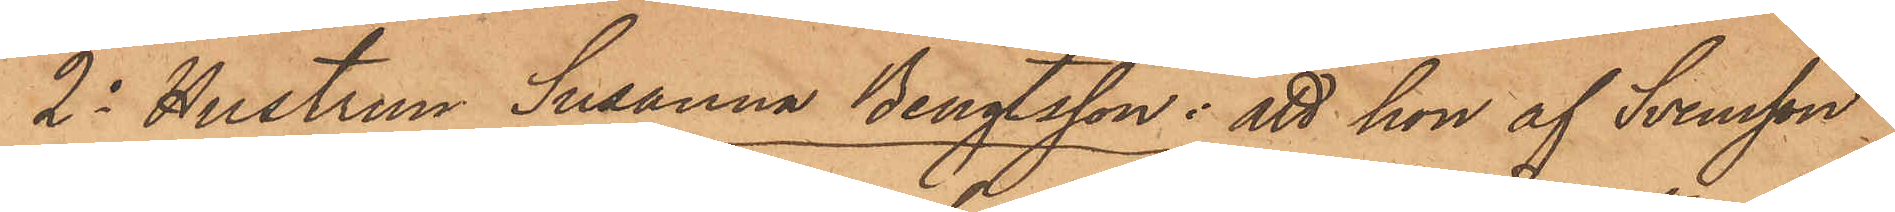2o Hustrun Susanna Bengtsson: att hon af Svensson
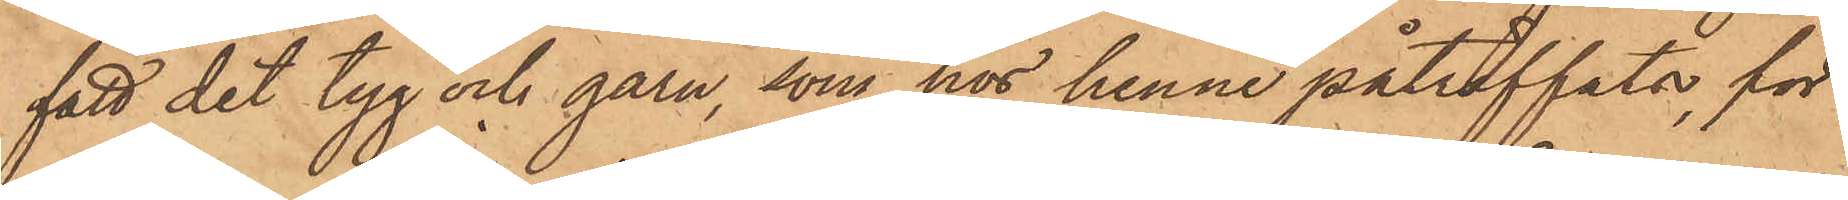fått det tyg och garn, som hos henne påträffats, för
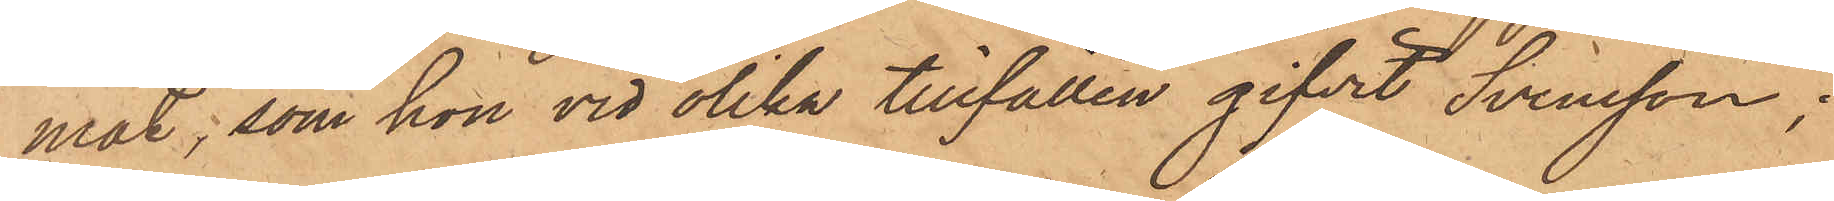mat, som hon vid olika tillfällen gifvit Svensson;
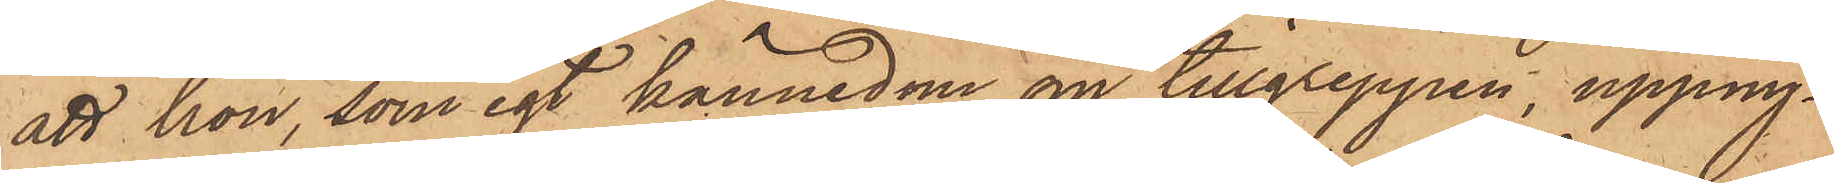att hon, som egt kännedom om tillgreppen, uppny¬
